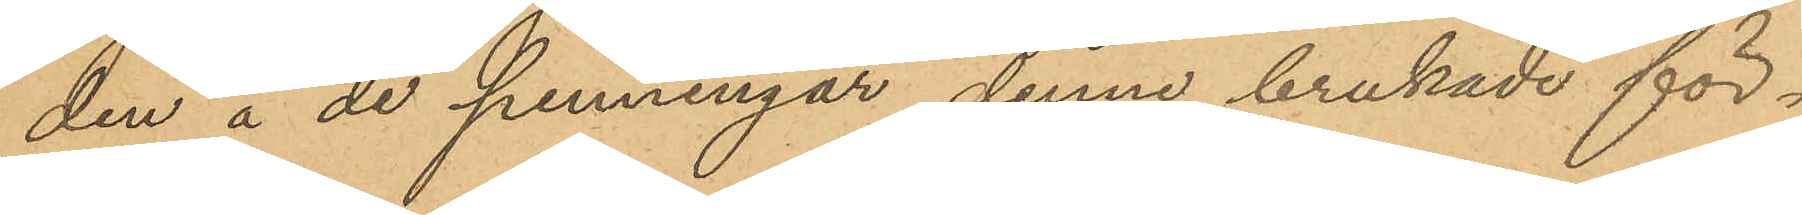den å de penningar denne brukade för¬
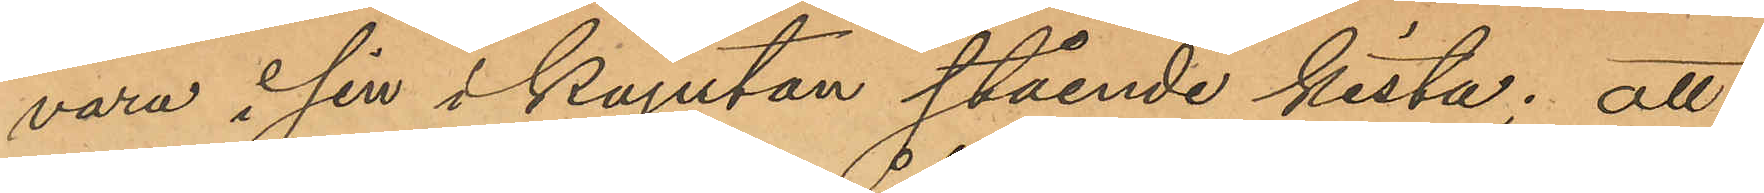vara i sin i kajutan stående kista; att
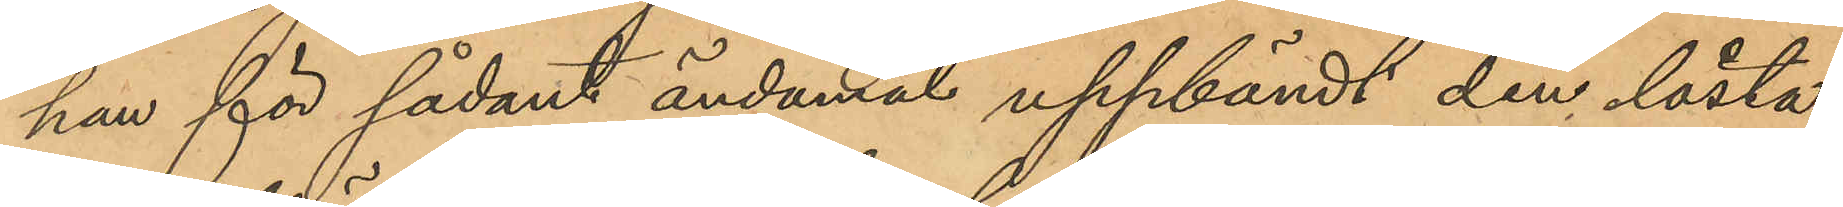han för sådant ändamål uppbändt den låsta
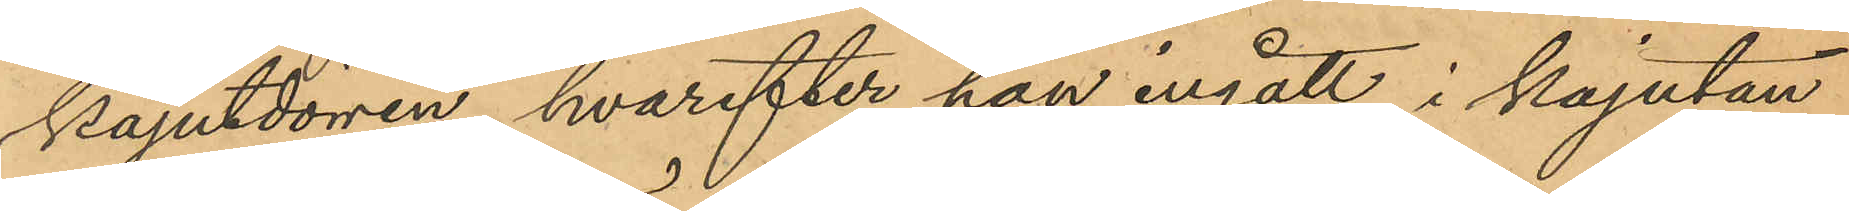kajutdörren, hvarefter han ingått i kajutan,
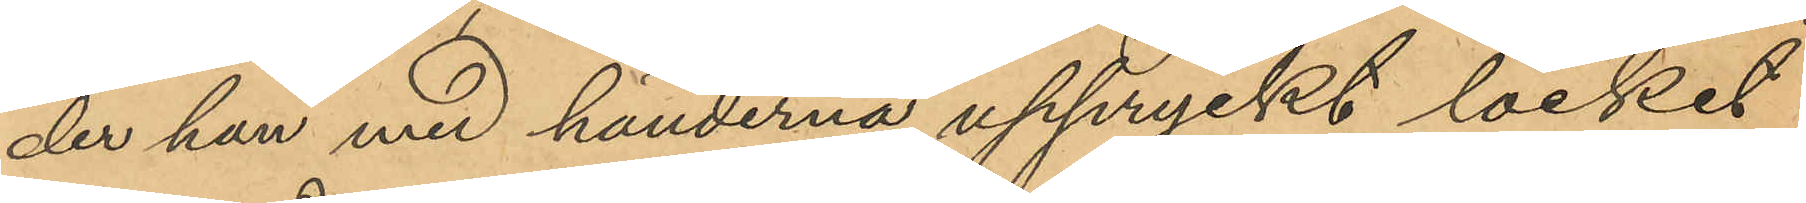der han med händerna uppryckt locket
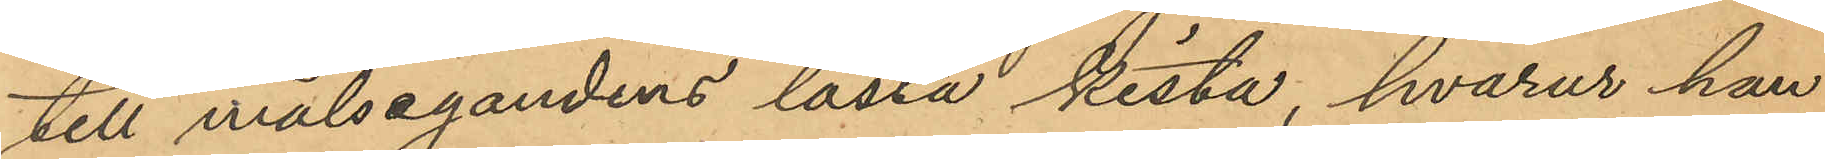till målsegandens låsta kista, hvarur han
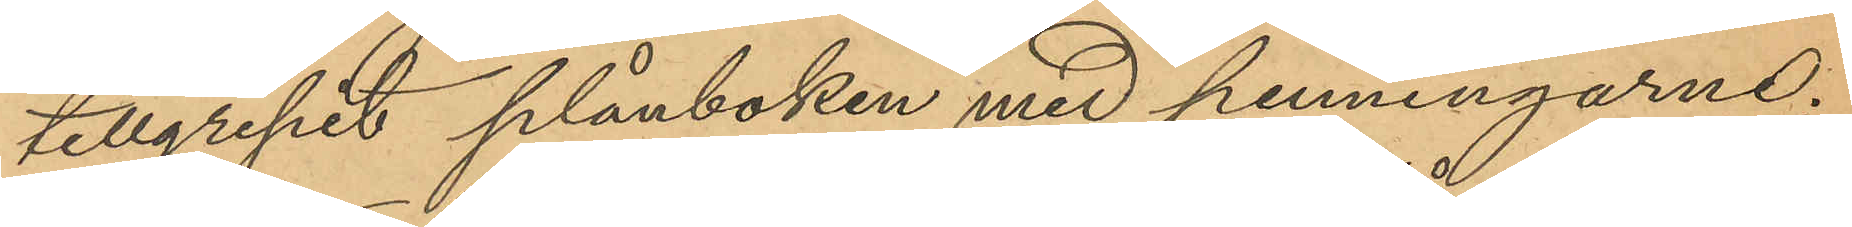tillgripit plånboken med penningarne;
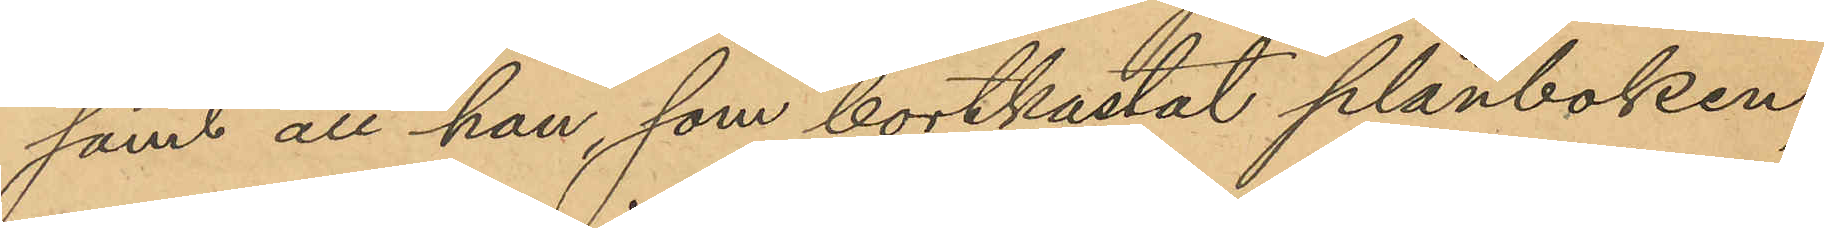samt att han, som bortkastat plånboken,
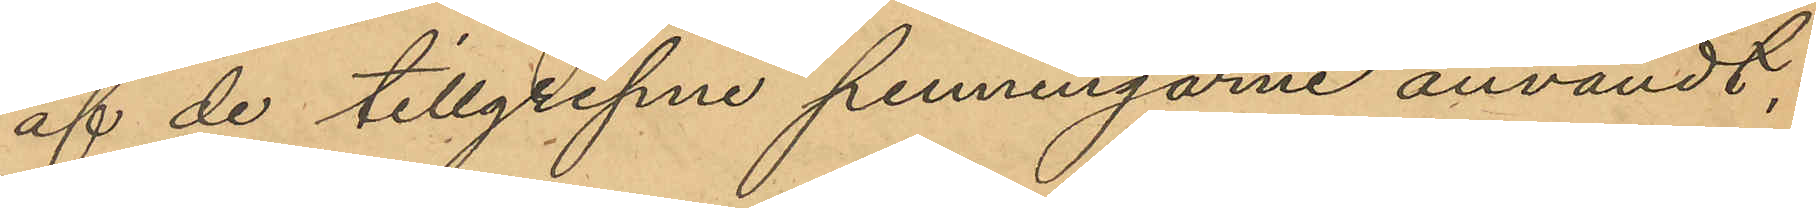af de tillgripne penningarne användt,
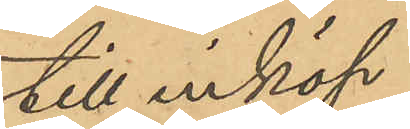till inköp
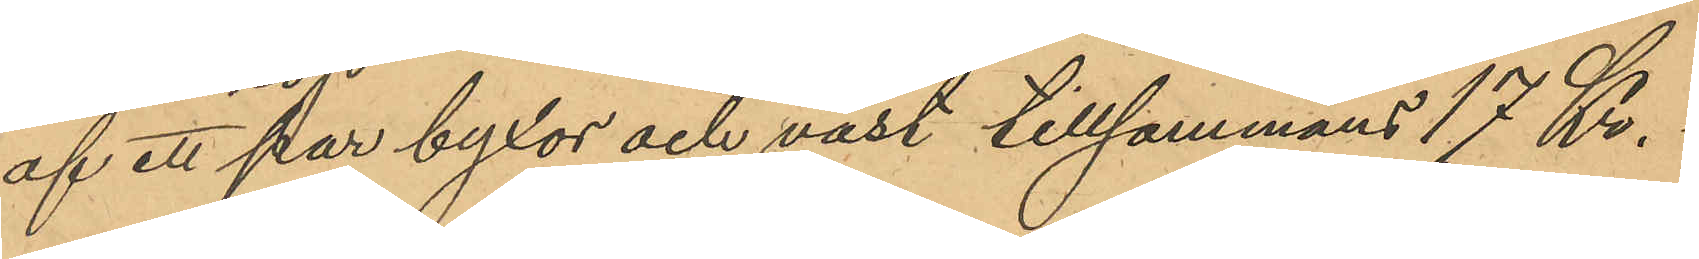af ett par byxor och väst tillsammans 17 Kr.
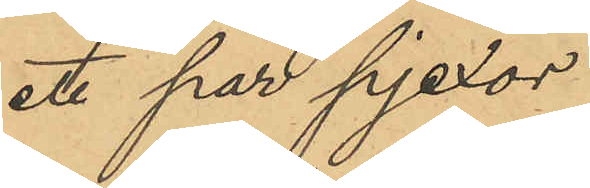ett par pjexor
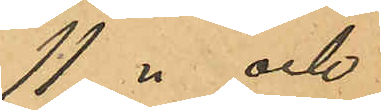11 " och
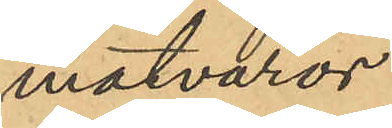matvaror
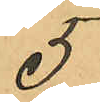5
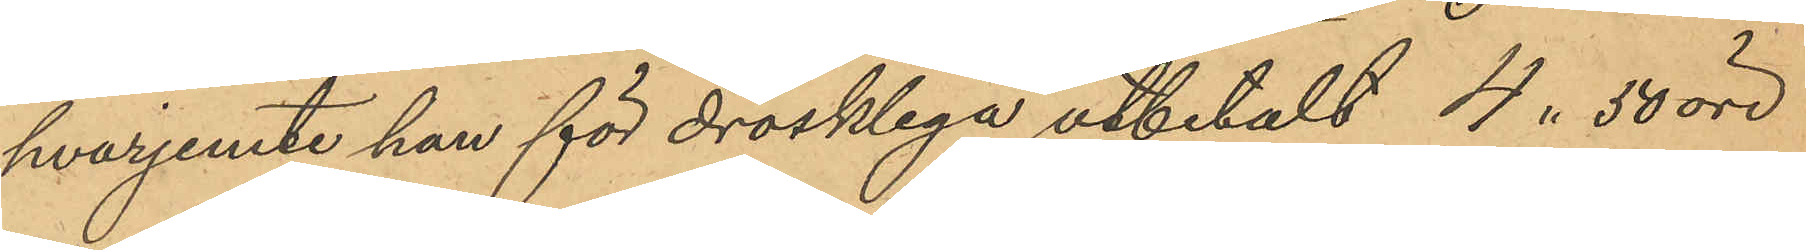hvarjemte han för drosklega utbetalt 4. 50 öre.
